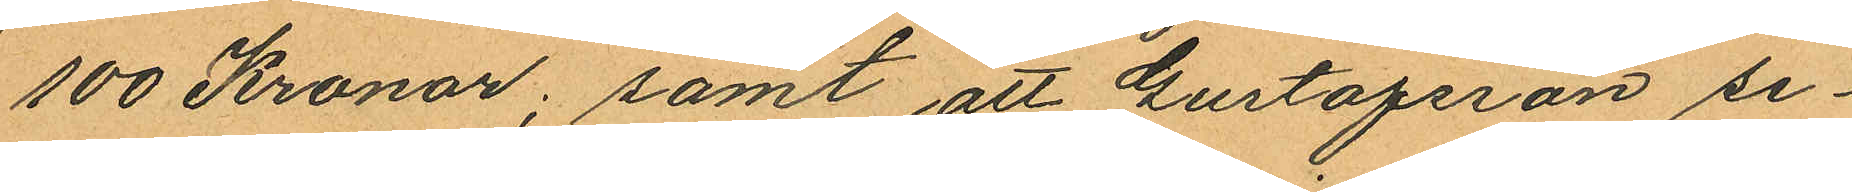100 Kronor; samt att Gustafsson se¬
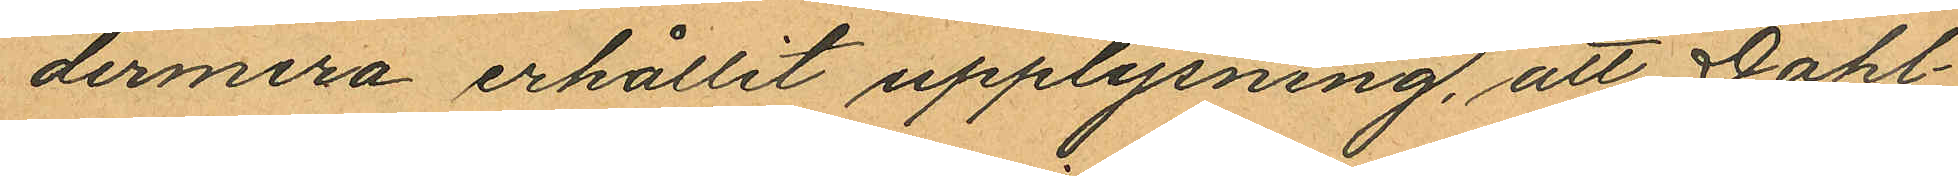dermera erhållit upplysning, att Dahl¬
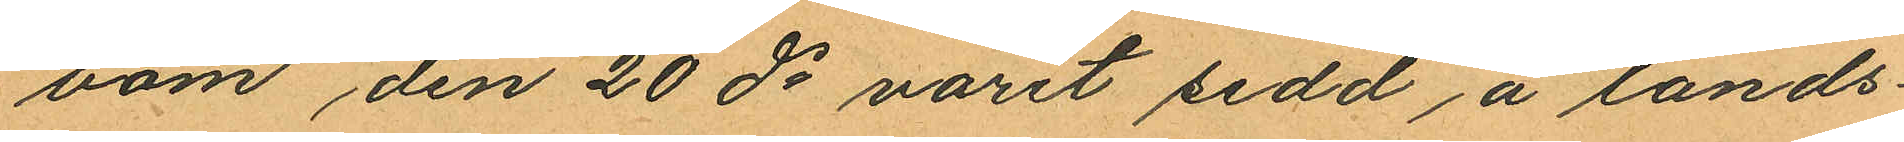bom den 20 ds varit sedd å lands¬
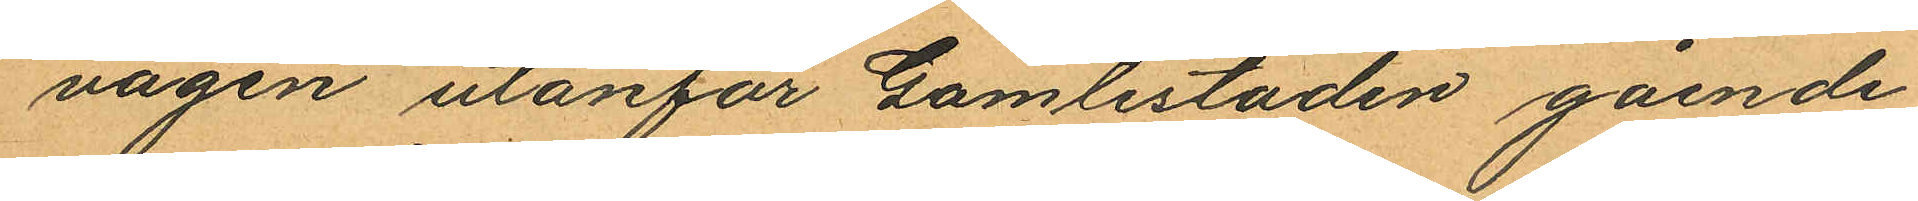vägen utanför Gamlestaden gående
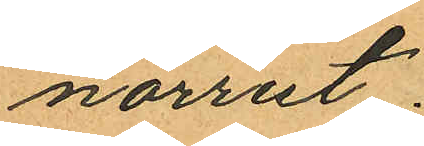norrut.
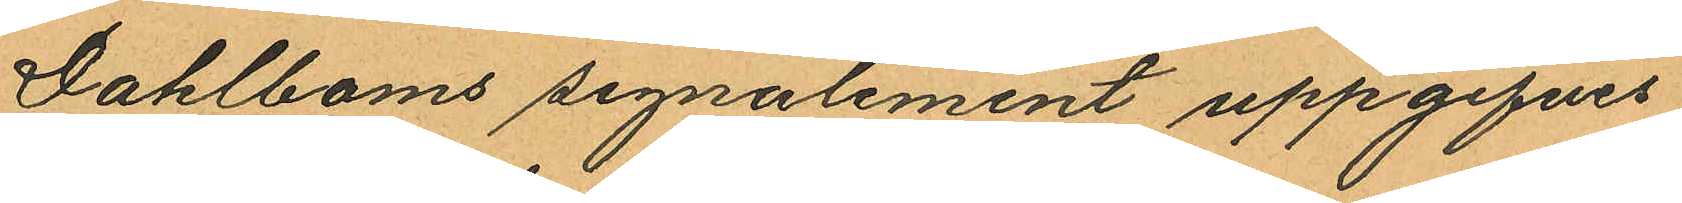Dahlboms signalement uppgifves
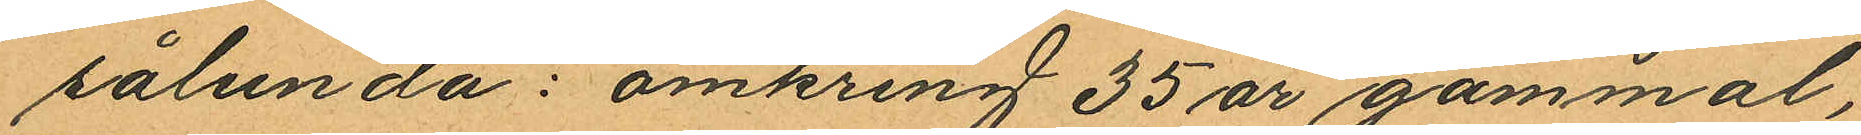sålunda: omkring 35 år gammal,
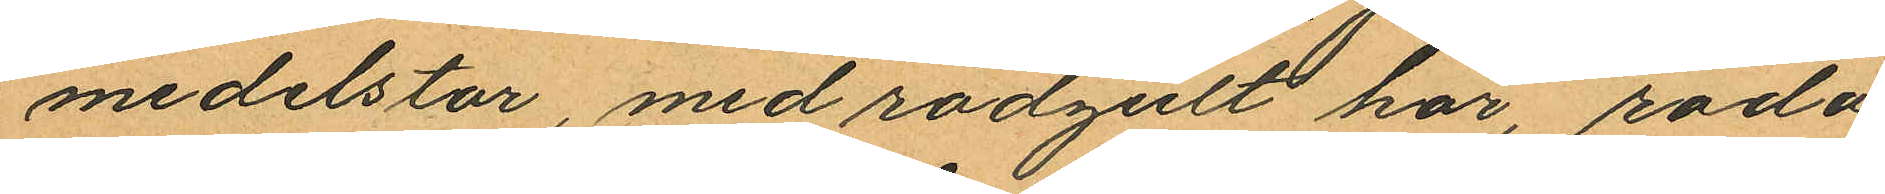medelstor, med rödgult hår, röda
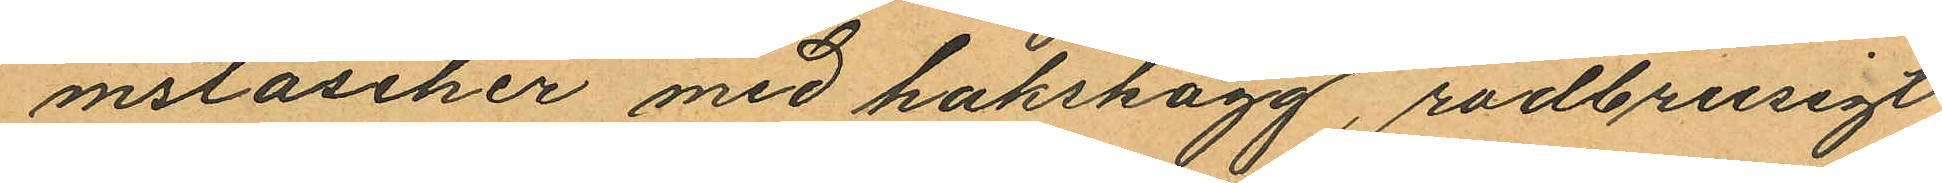mstascher med hakskägg, rödbrusigt
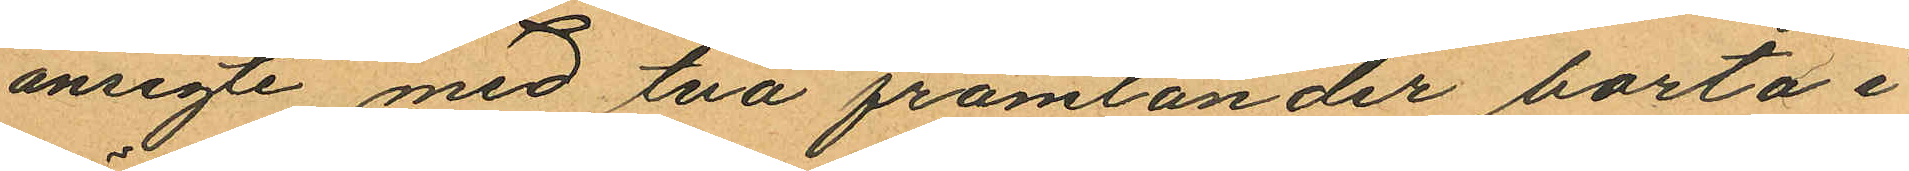ansigte med två främtander borta i
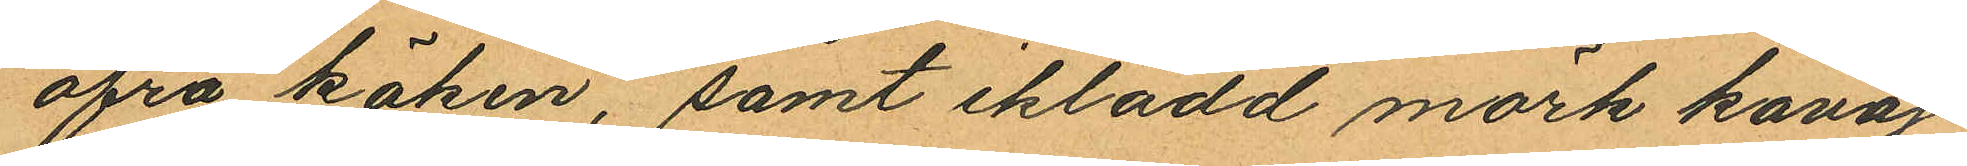öfra käken, samt iklädd mörk kavaj¬
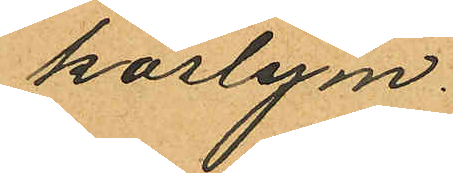kostym.
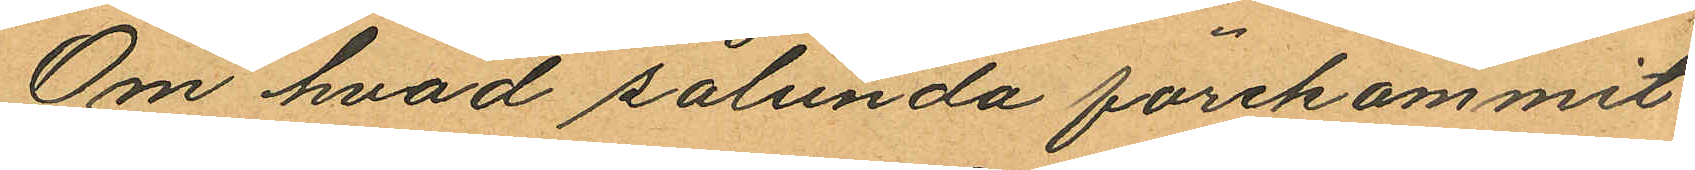Om hvad sålunda förekommit
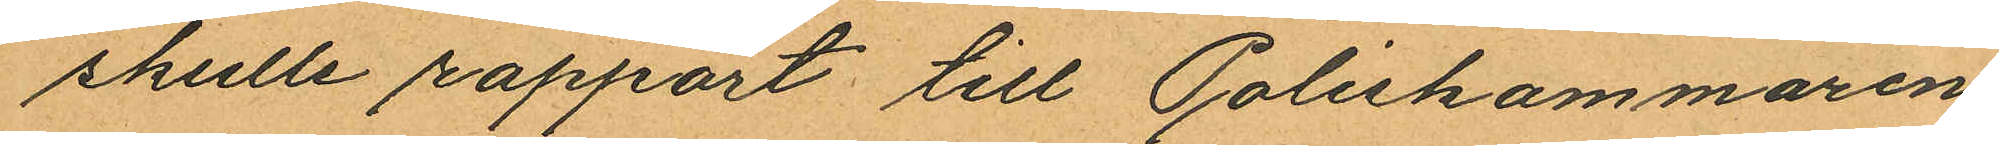skulle rapport till Poliskammaren
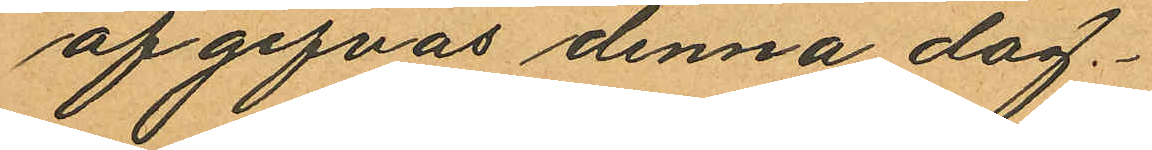afgifvas denna dag.
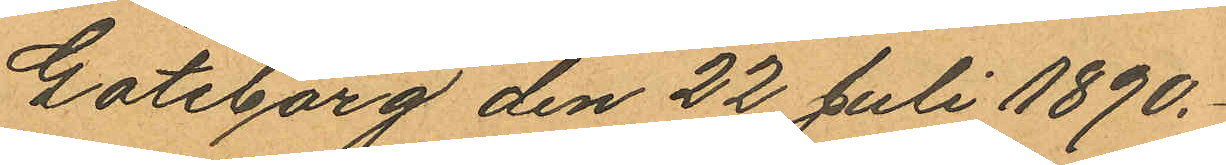Göteborg den 22 Juli 1890.
